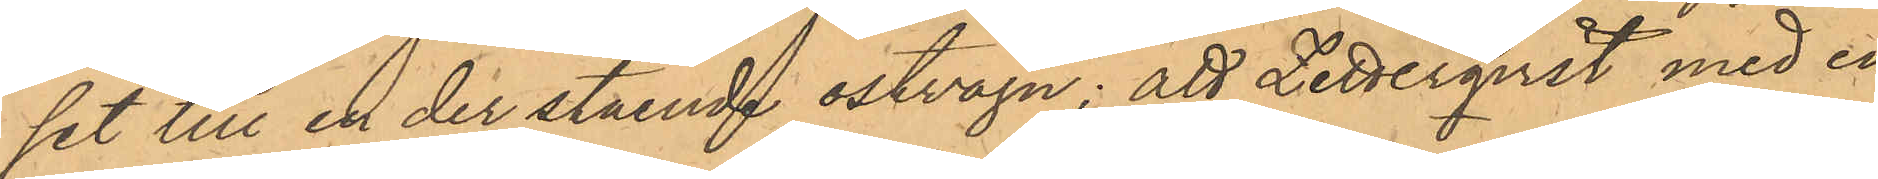set till en der stående ostvagn; att Zetterqvist med en
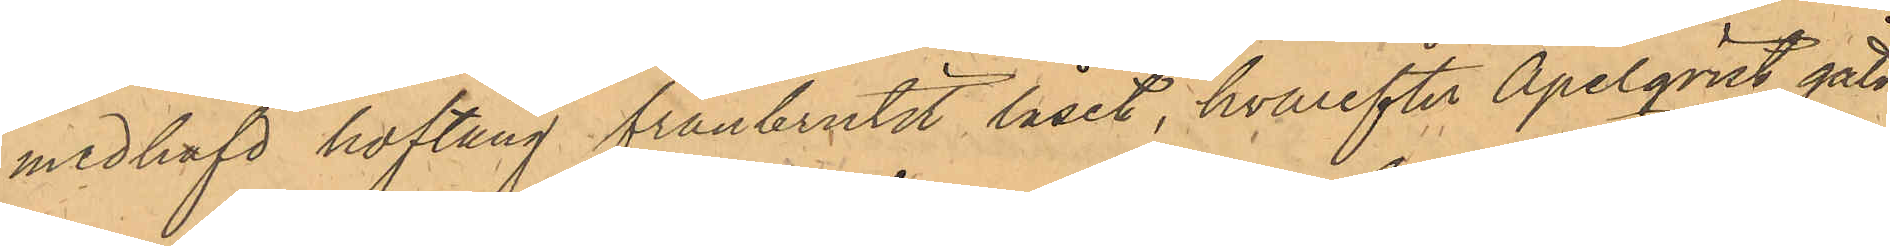medhafd hoftång frånbrutit låset, hvarefter Apelqvist gått
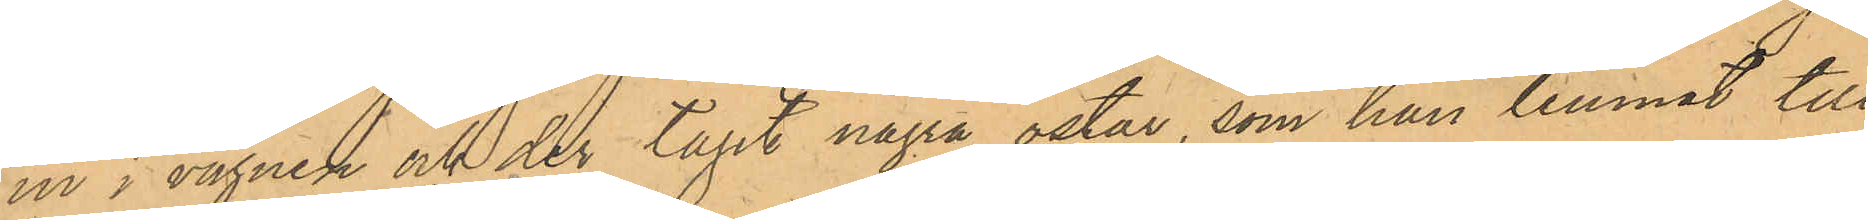in i vagnen och der tagit några ostar, som han lemnat till
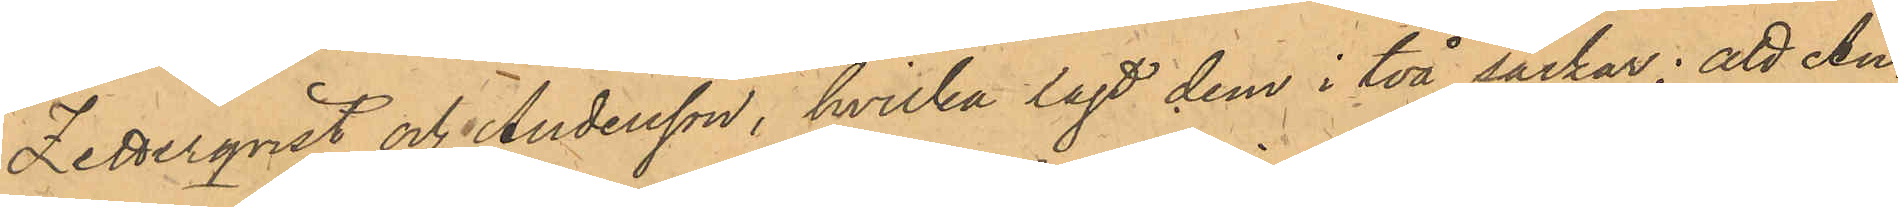Zetterqvist och Andersson, hvilka lagt dem i två säckar; att An¬
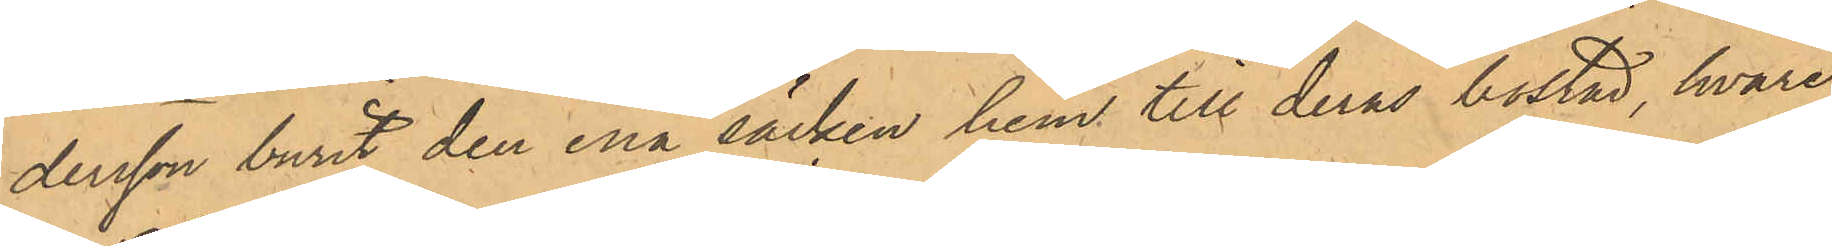dersson burit den ena säcken hem till deras bostad, hvare¬
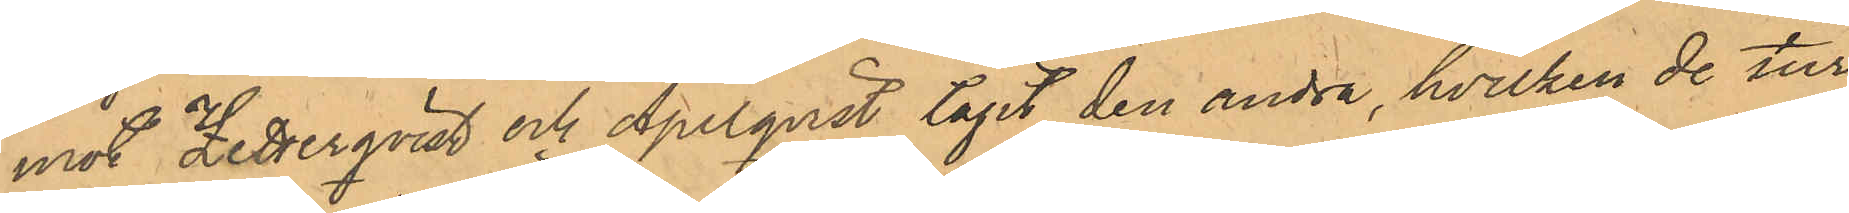mot Zetterqvist och Apelqvist tagit den andra, hvilken de tur¬
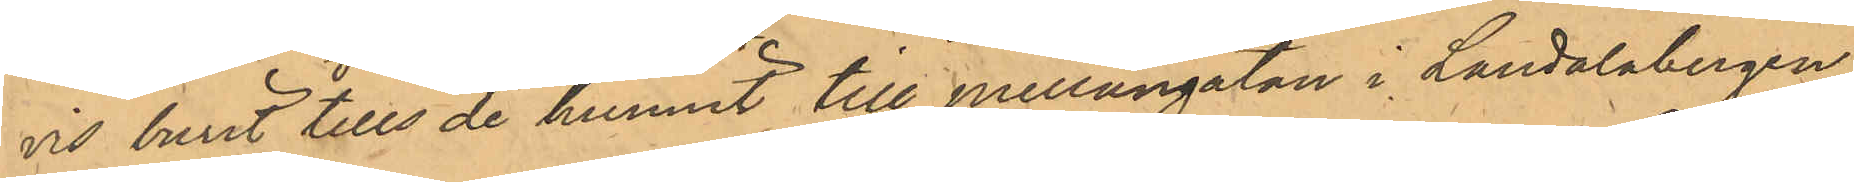vis burit tills de hunnit till Mellangatan i Landalabergen,
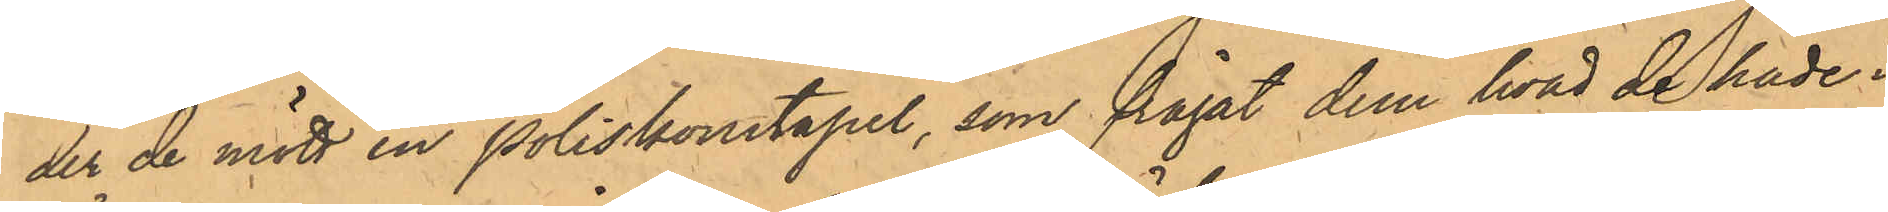der de mött en Poliskonstapel, som frågat dem hvad de hade i
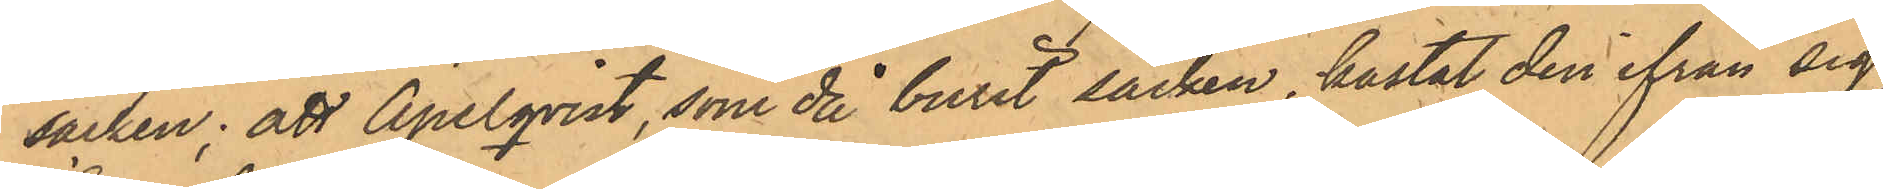säcken; att Apelqvist, som då burit säcken, kastat den ifrån sig,
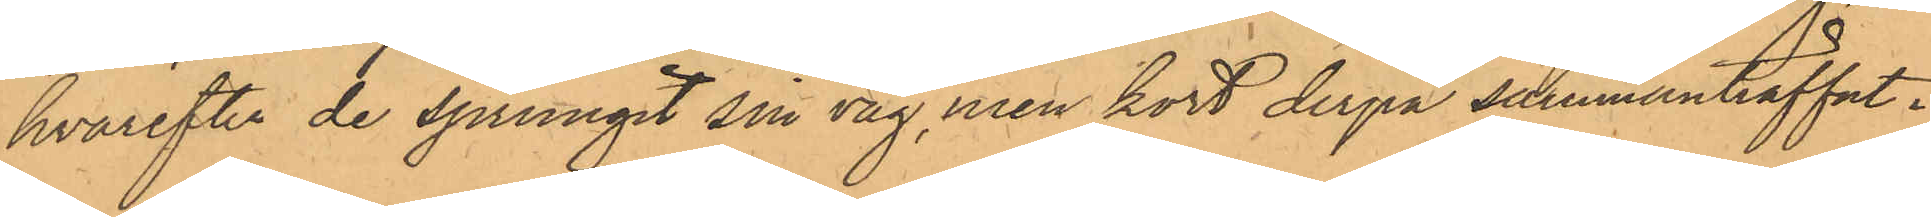hvarefter de sprungit sin väg, men kort derpå sammanträffat i
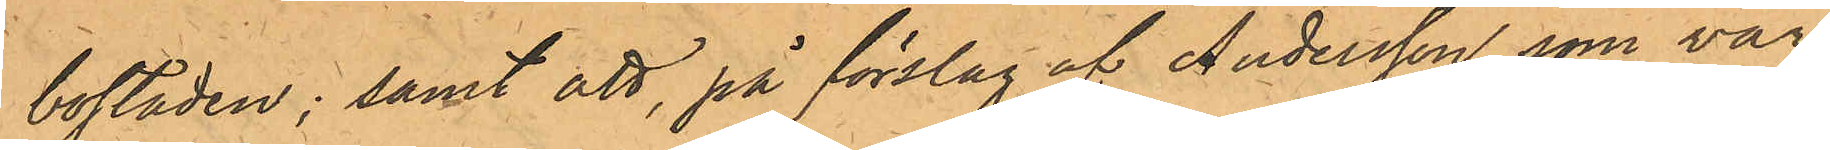bostaden; samt att, på förslag af Andersson, som var
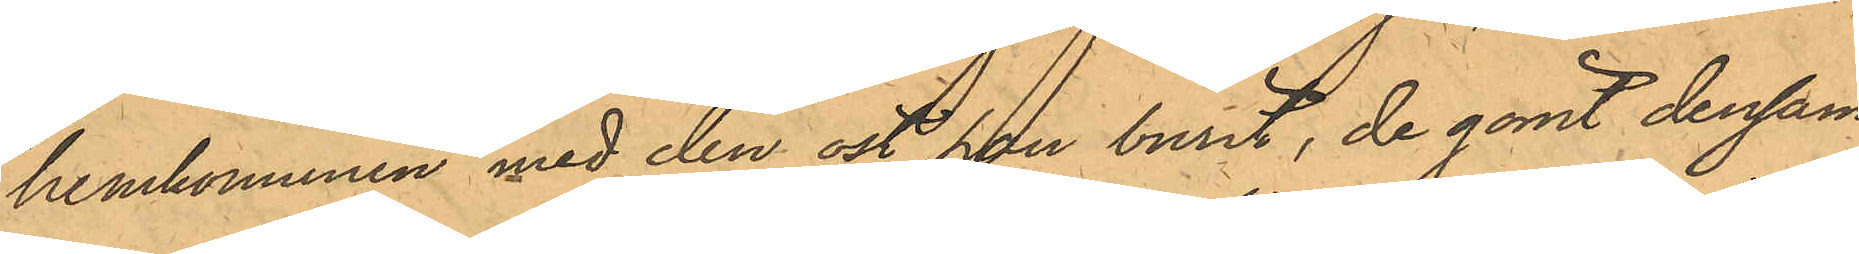hemkommen med den ost han burit, de gömt densam¬
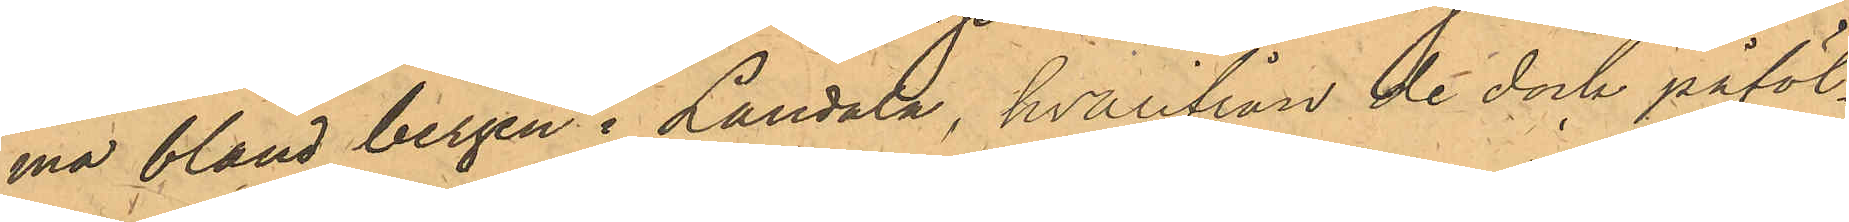ma bland bergen i Landala, hvarifrån de dock påföl¬
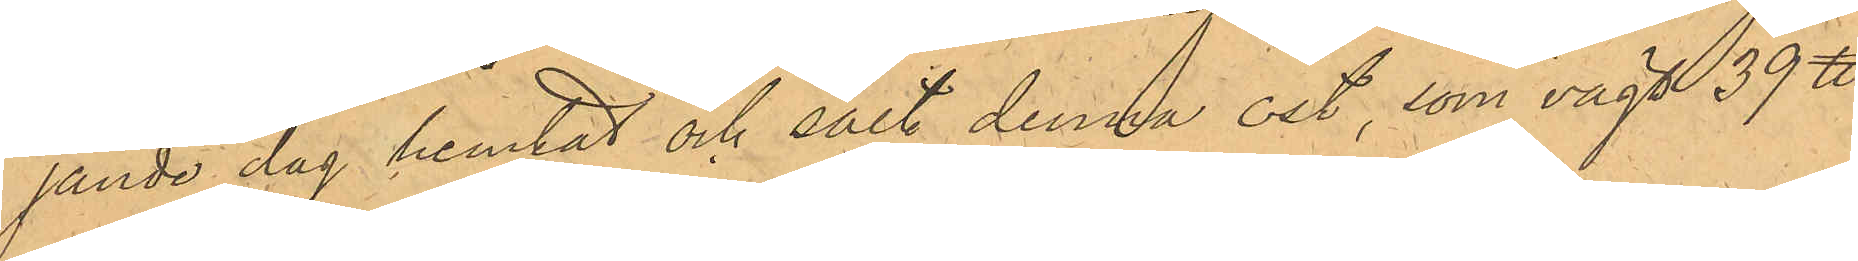jande dag hemtat och sålt denna ost, som vägt 39 ℔
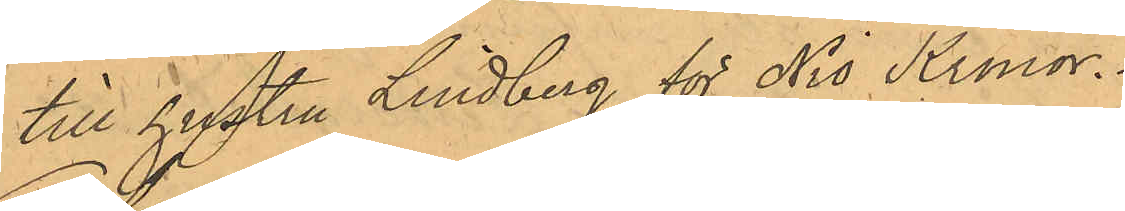till hustru Lindberg för Nio Kronor.
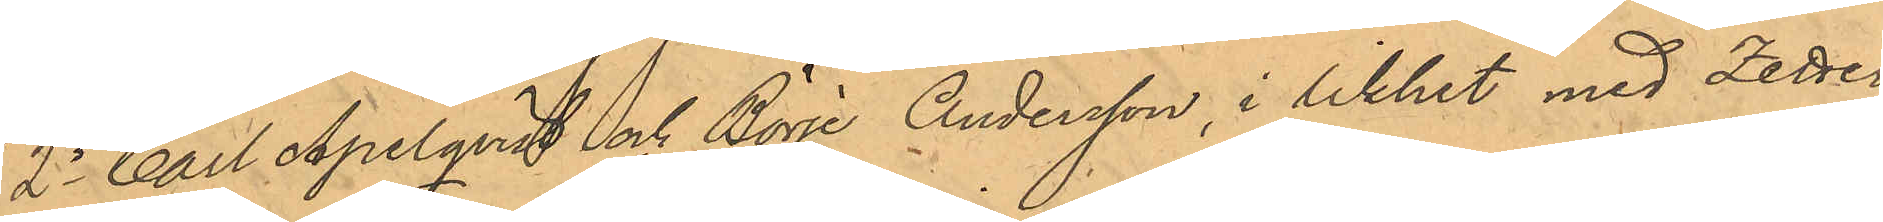2o Carl Apelqvist och Börje Andersson, i likhet med Zetter¬
